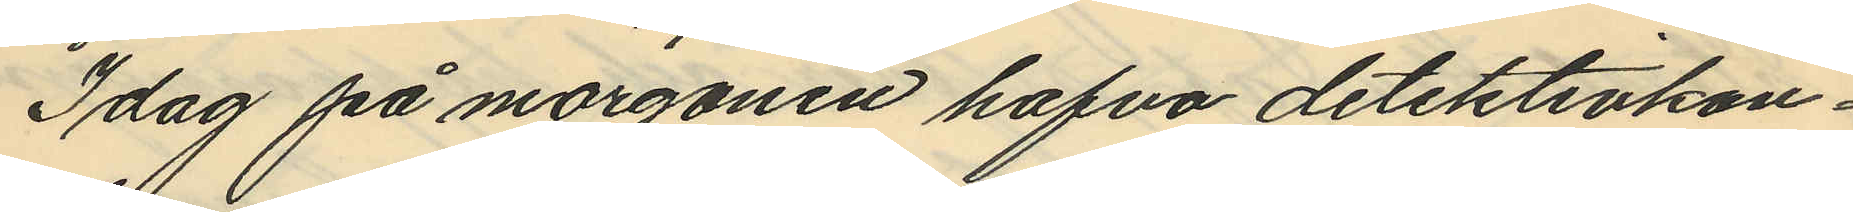Idag på morgonen hafva detektivkon¬
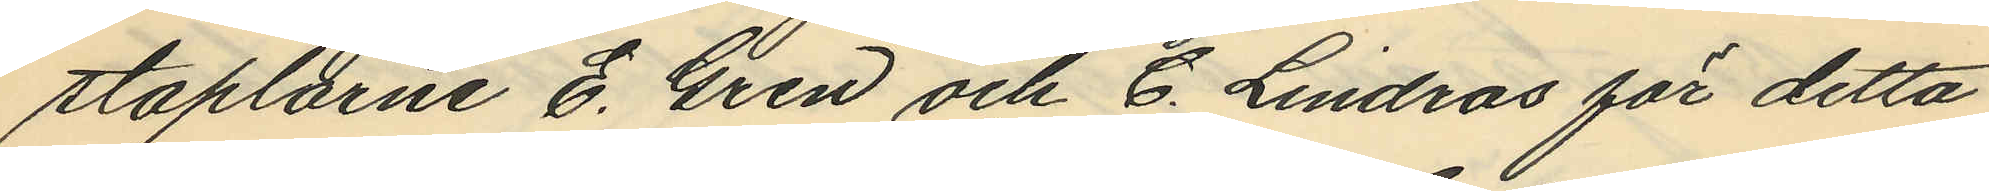staplarne E. Gren och C. Lindros för detta
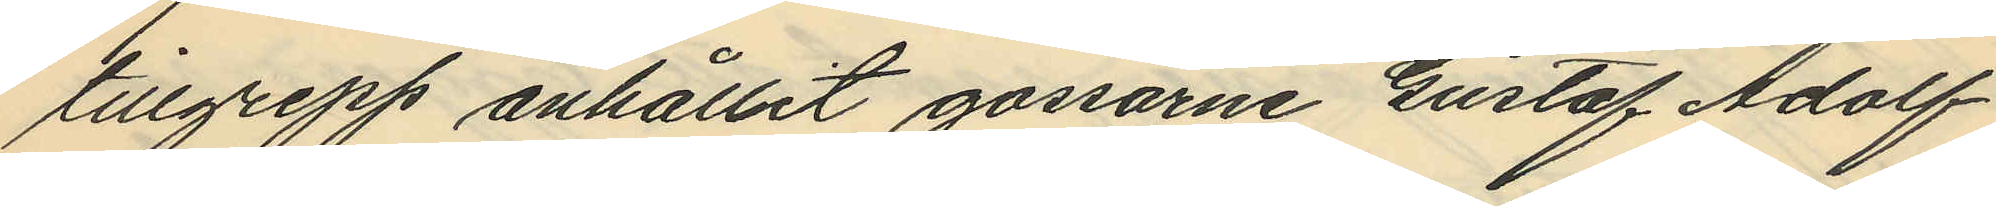tillgrepp anhållit gossarne Gustaf Adolf
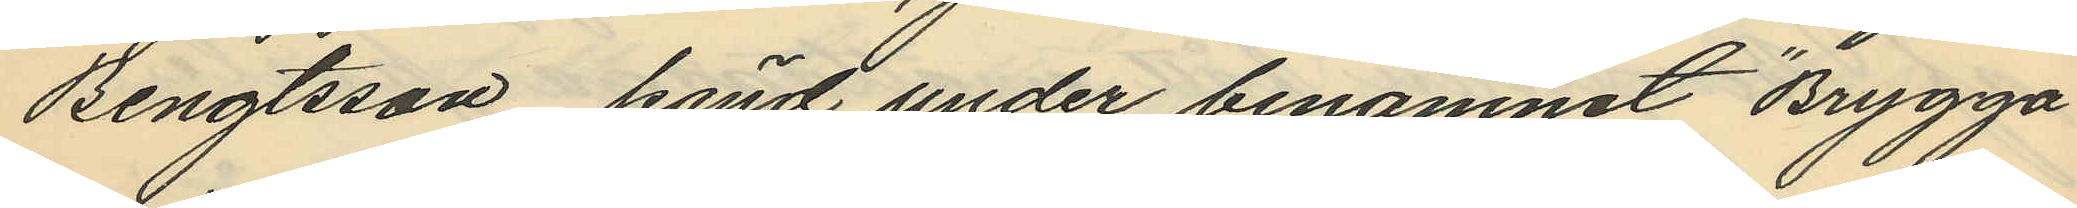Bengtsson, känd under binamnet "Brygga¬
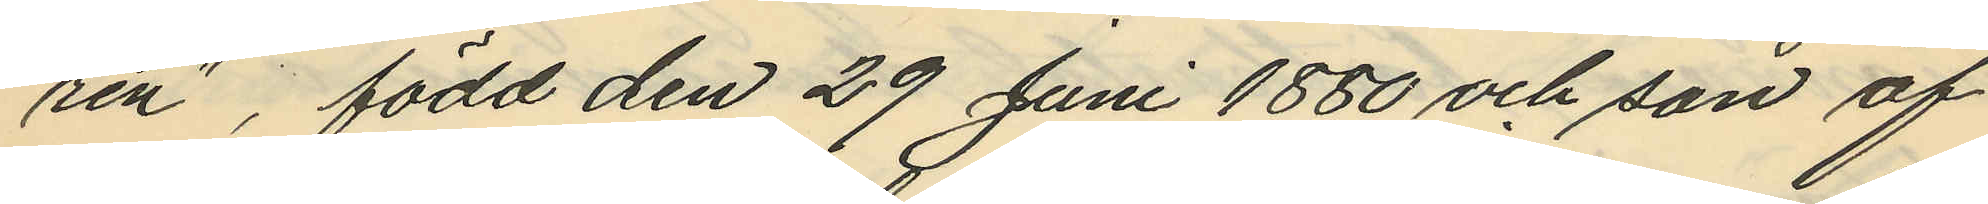ren", född den 29 Juni 1880 och son af
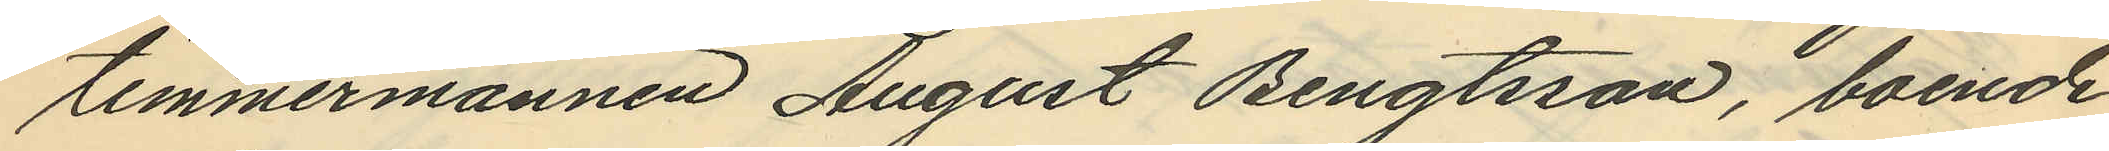timmermannen August Bengtsson, boende
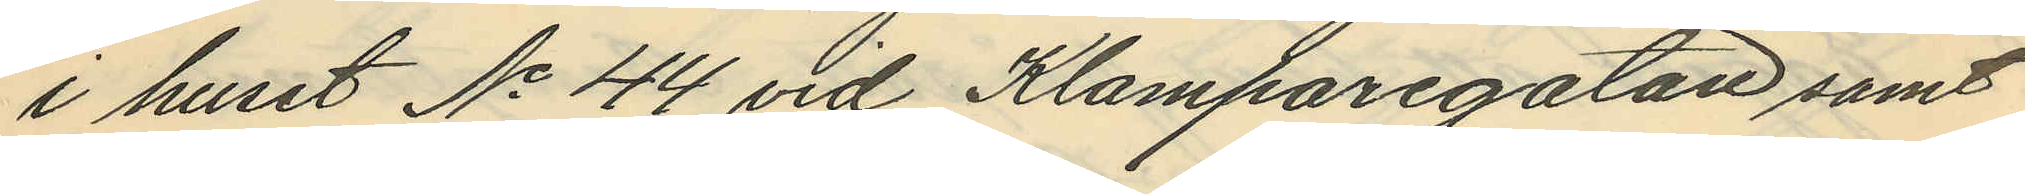i huset No 44 vid Klamparegatan samt
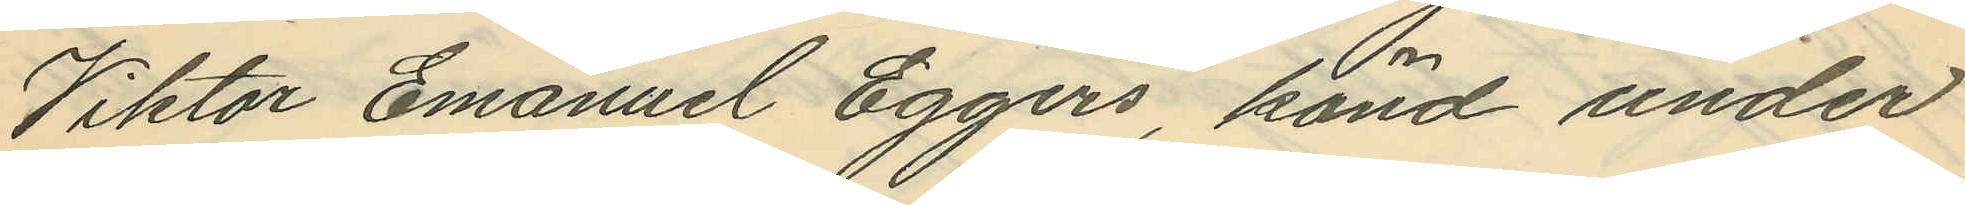Viktor Emanuel Eggers, känd under
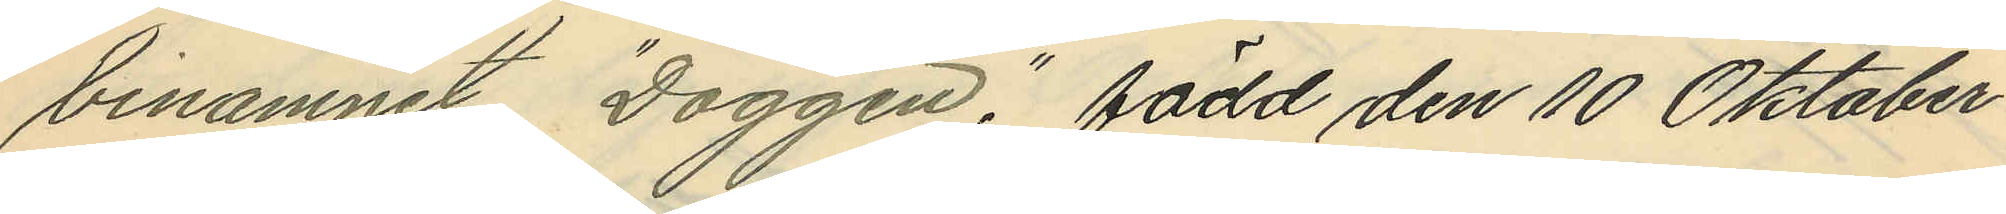binamnet "Doggen"; född den 10 Oktober
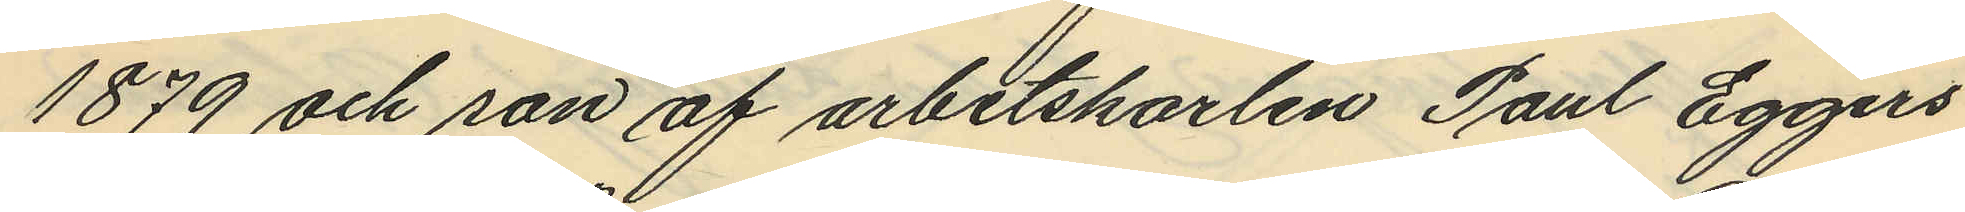1879 och son af arbetskarlen Paul Eggers,
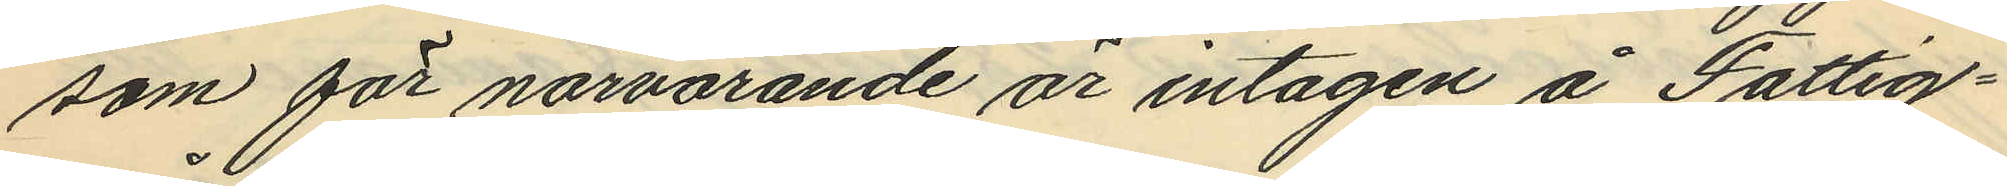som för närvarande är intagen å Fattig¬
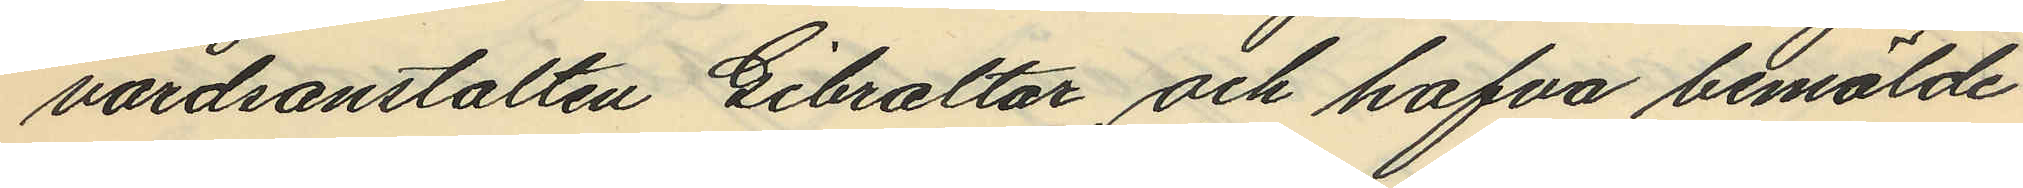vårdsanstalten Gibraltar, och hafva bemälde
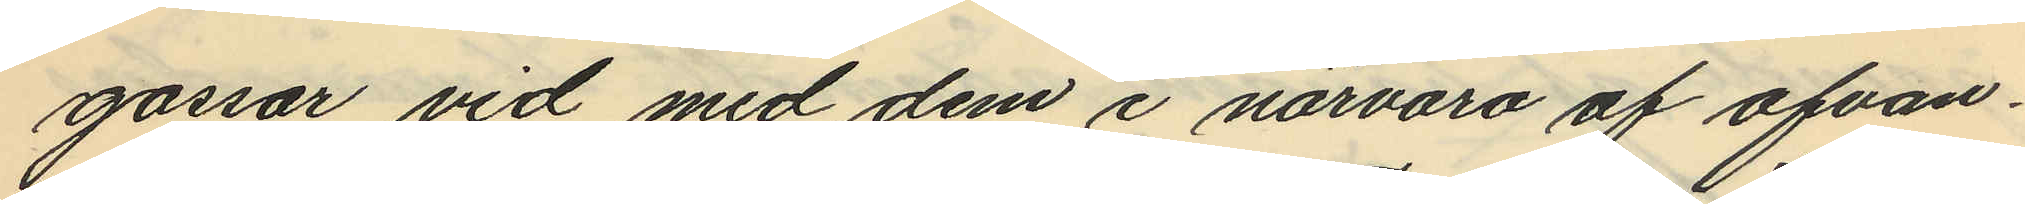gossar vid med dem i närvaro af ofvan¬
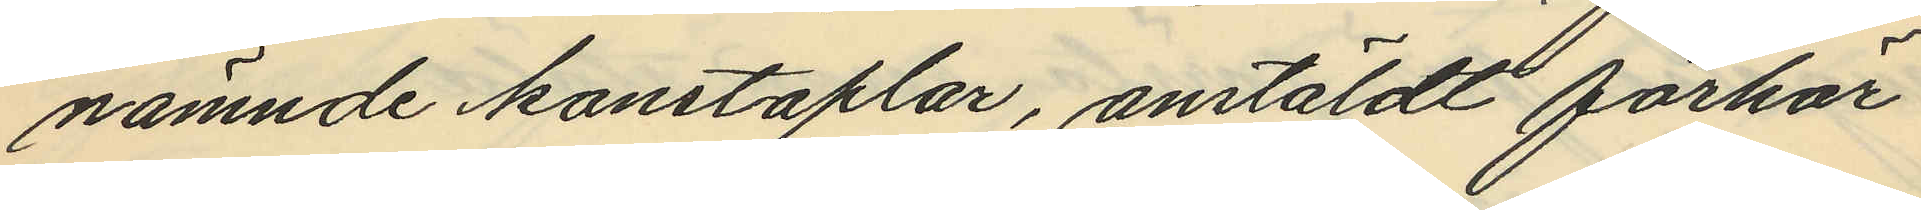nämnde konstaplar, anstäldt förhör
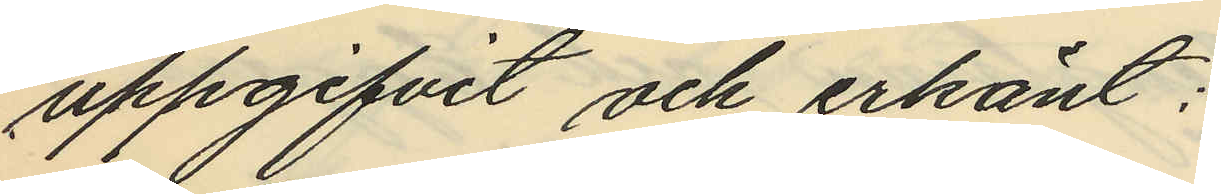uppgifvit och erkänt:
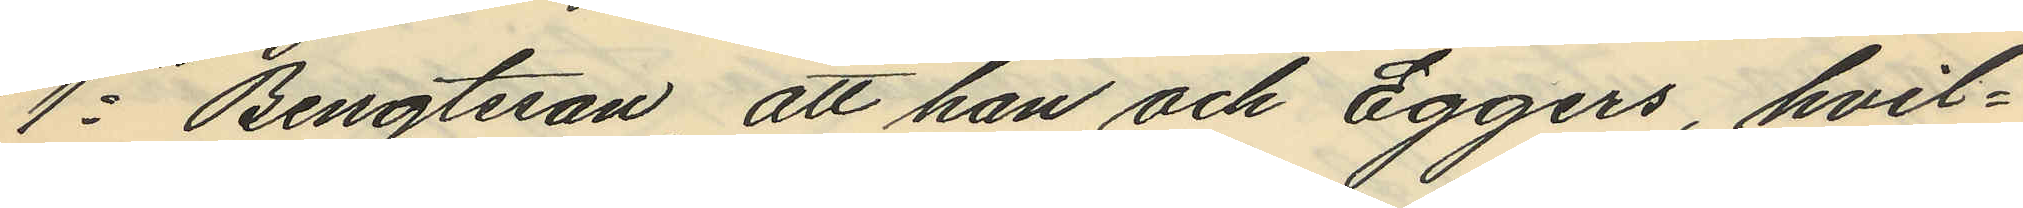1o Bengtsson, att han och Eggers, hvil¬
